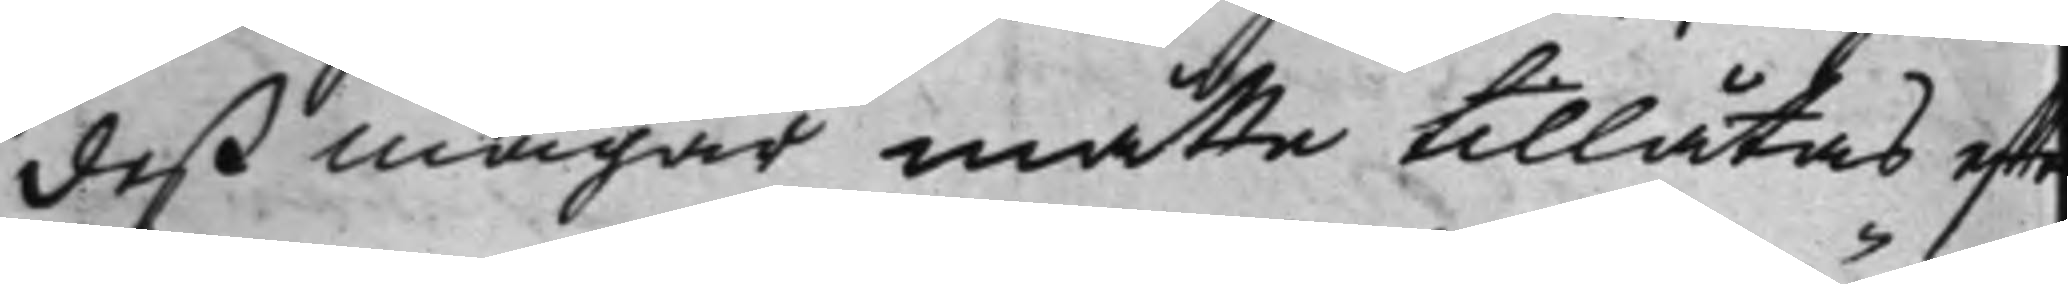deß mågar måtte tillåtas effte
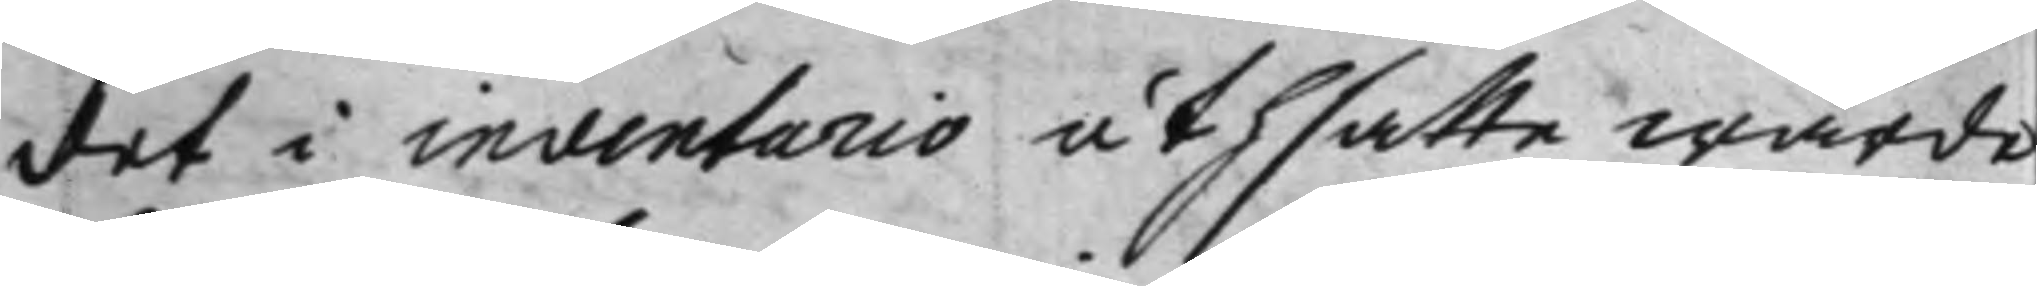det i inventario uthsatte wärde
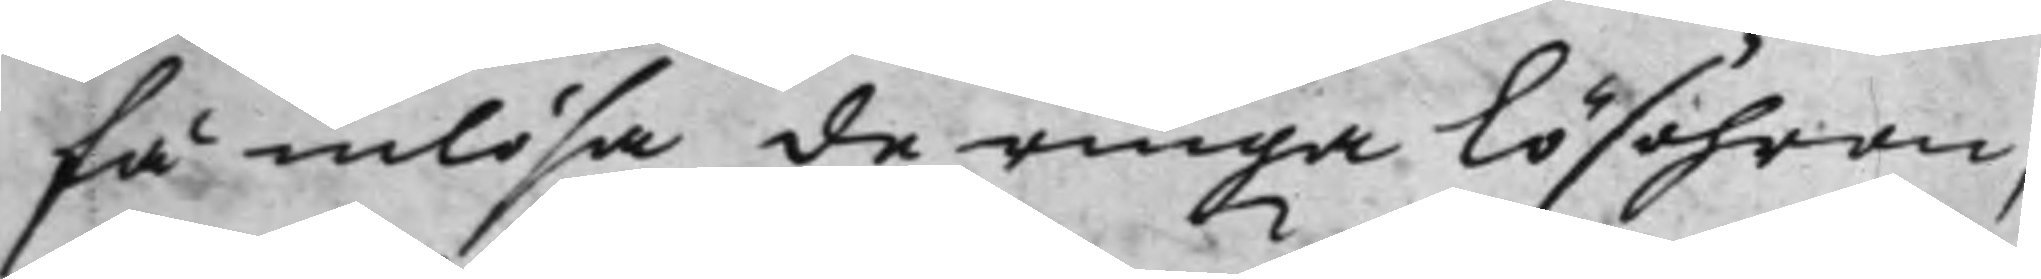få inlösa de ringa lösöhren,
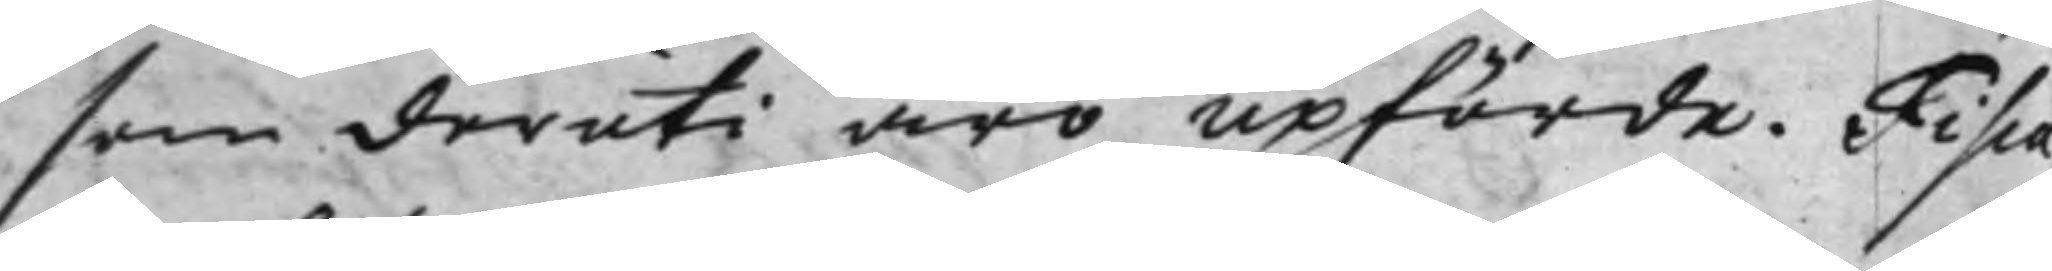som deruti äro upförde. Fisca¬
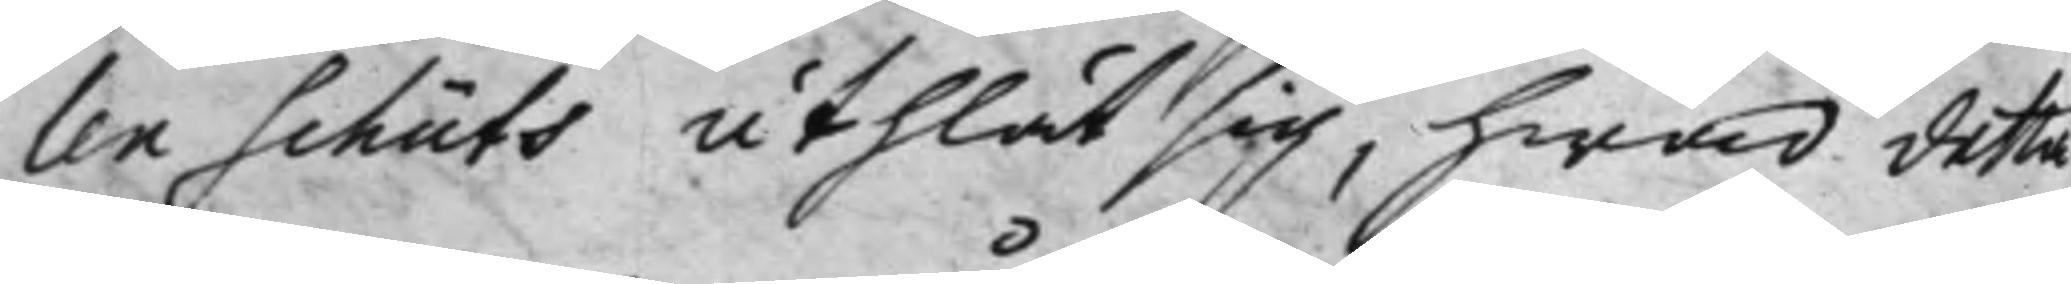len Schüts uthlät sig, hwad detta
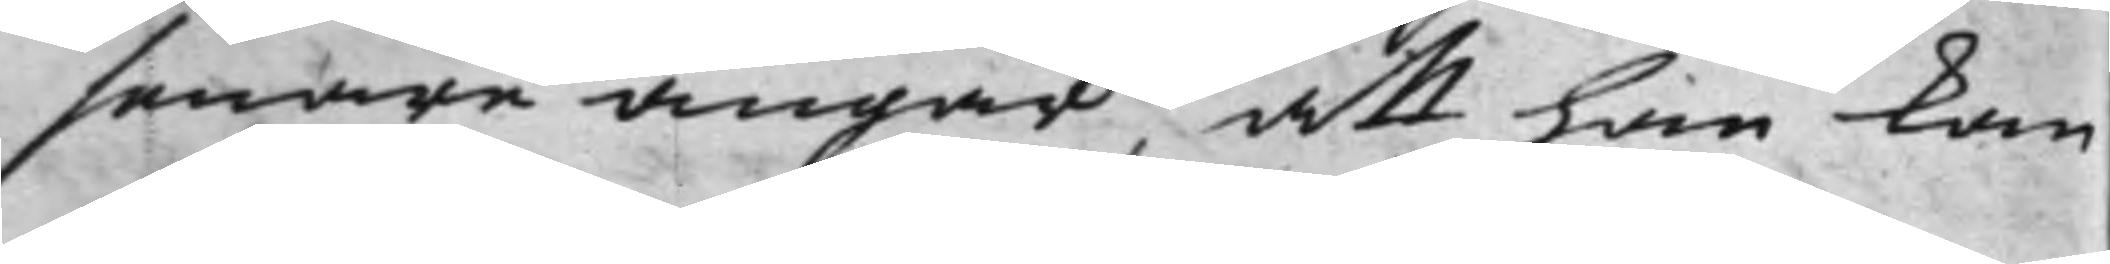senare angår, att han kan
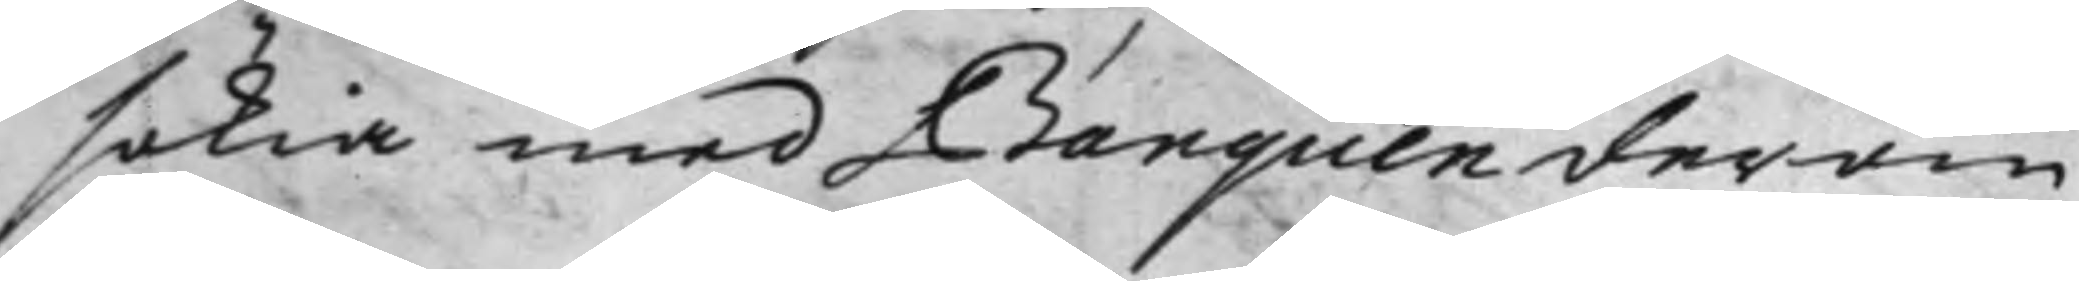sökia med Banquen derom
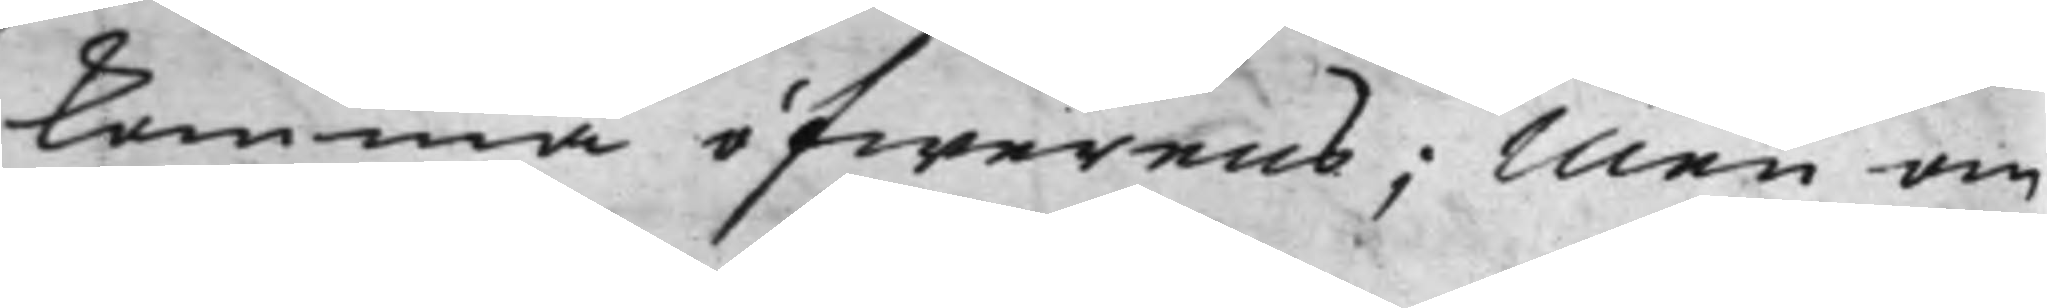komma öfwerens; Men om
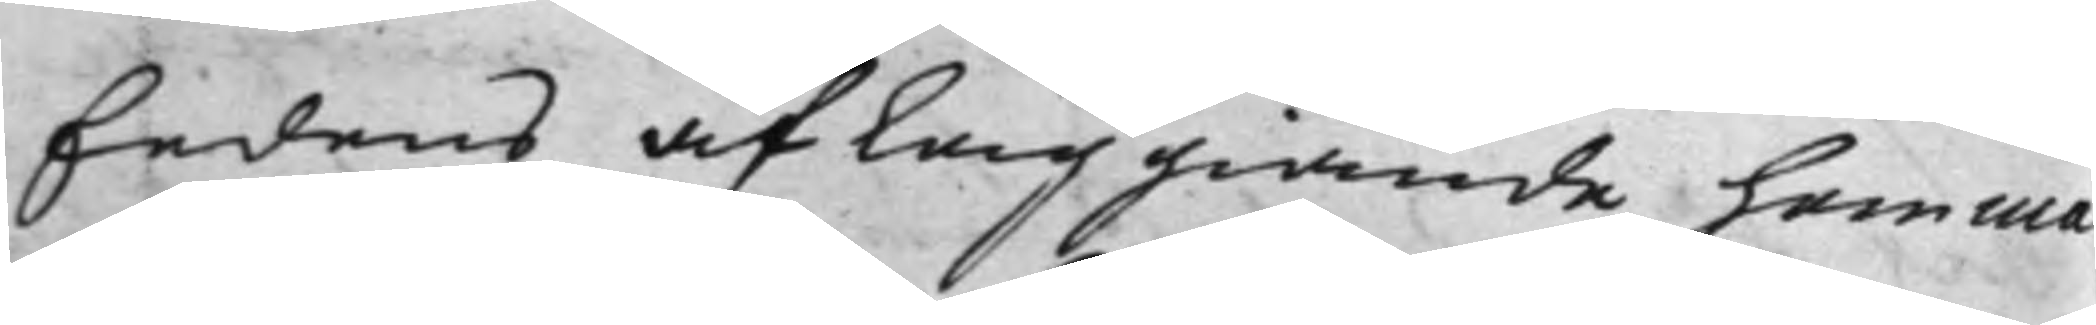Eedens afläggiande hemma
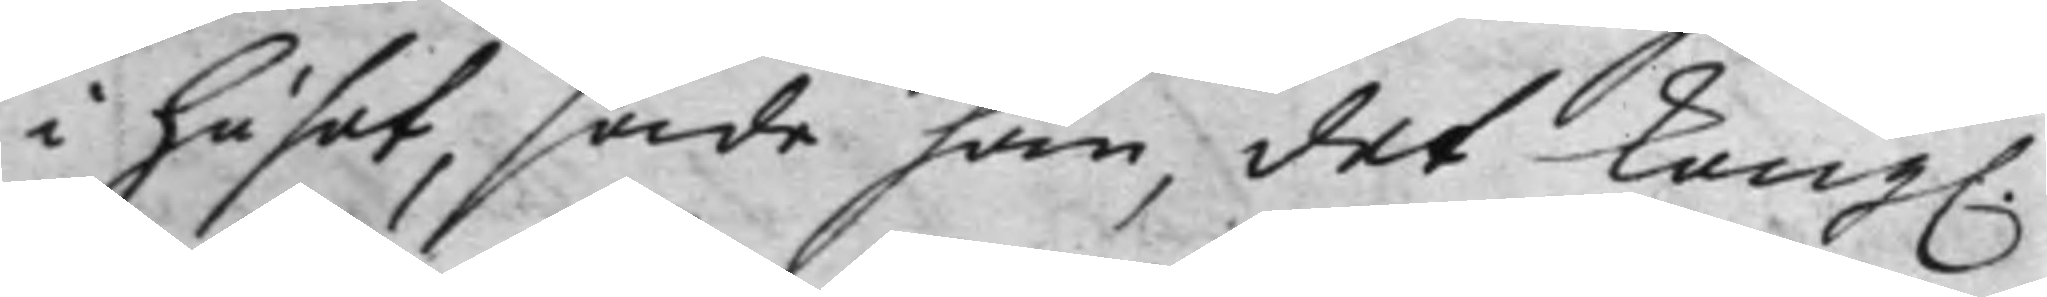i huset, sade han, det Kong.
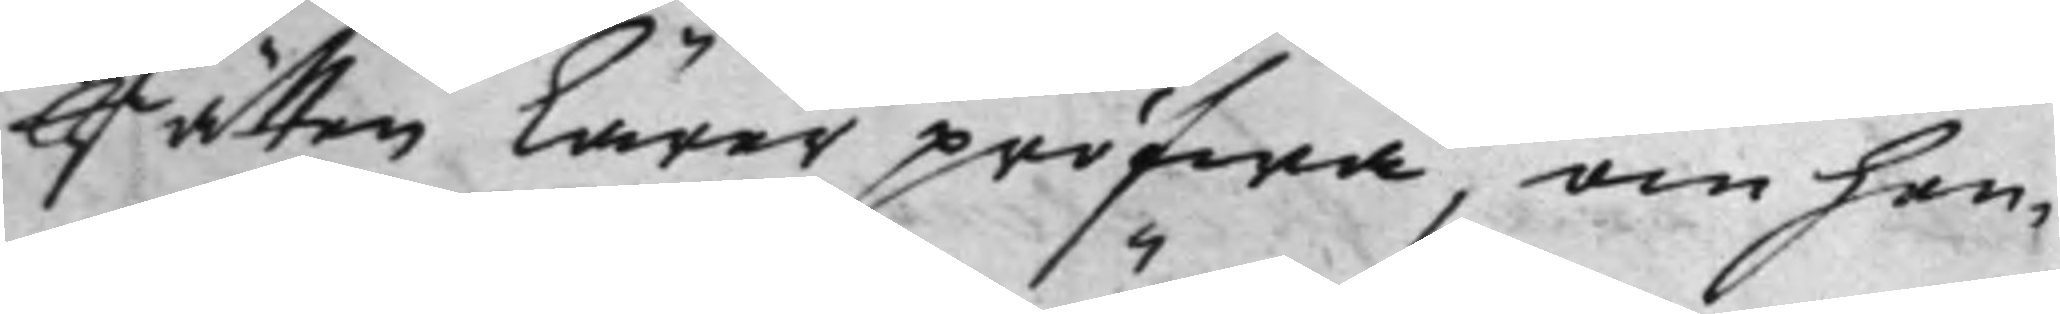Rätten lärer pröfwa, om hen¬
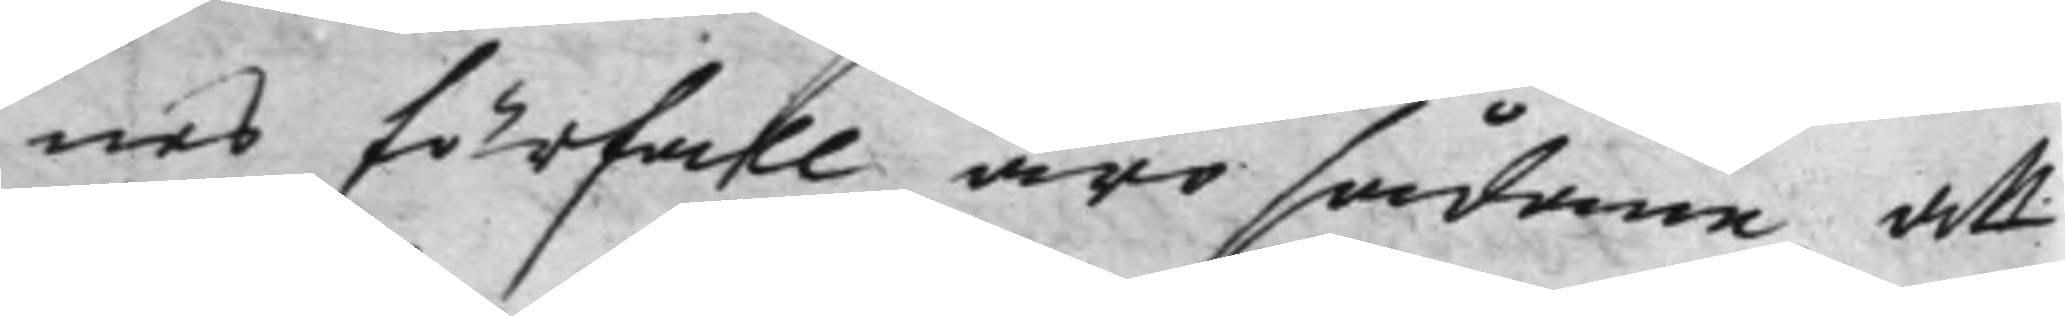nes förfall äro sådane, att
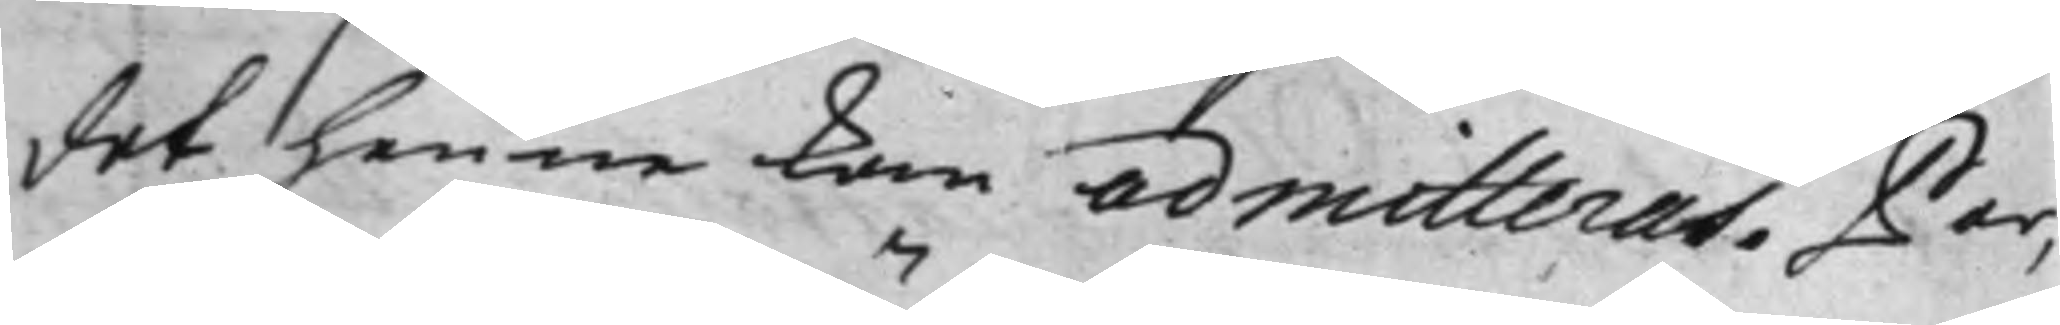det henne kan admitteras. Par¬
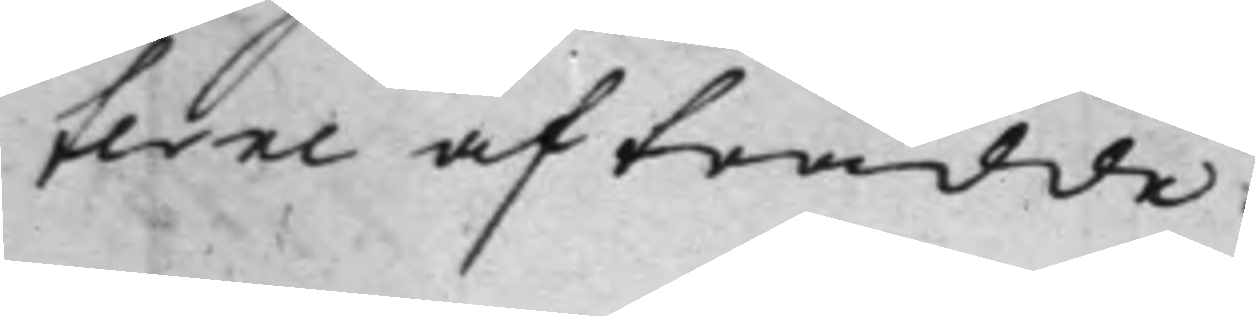terne afträdde.
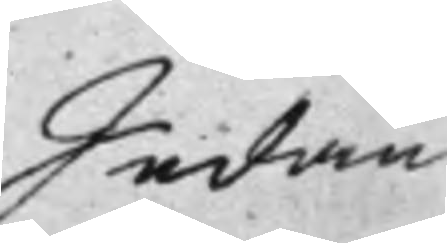Sedan
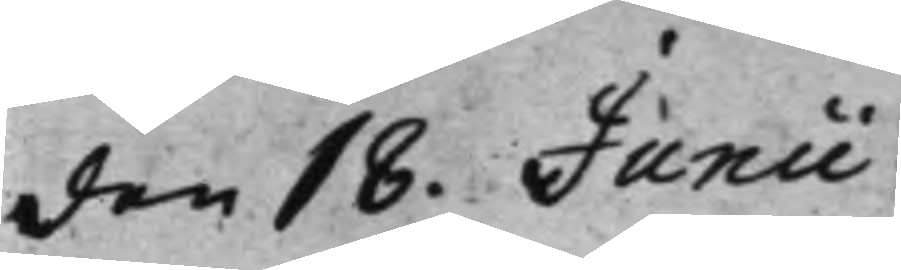den 18. Junii
